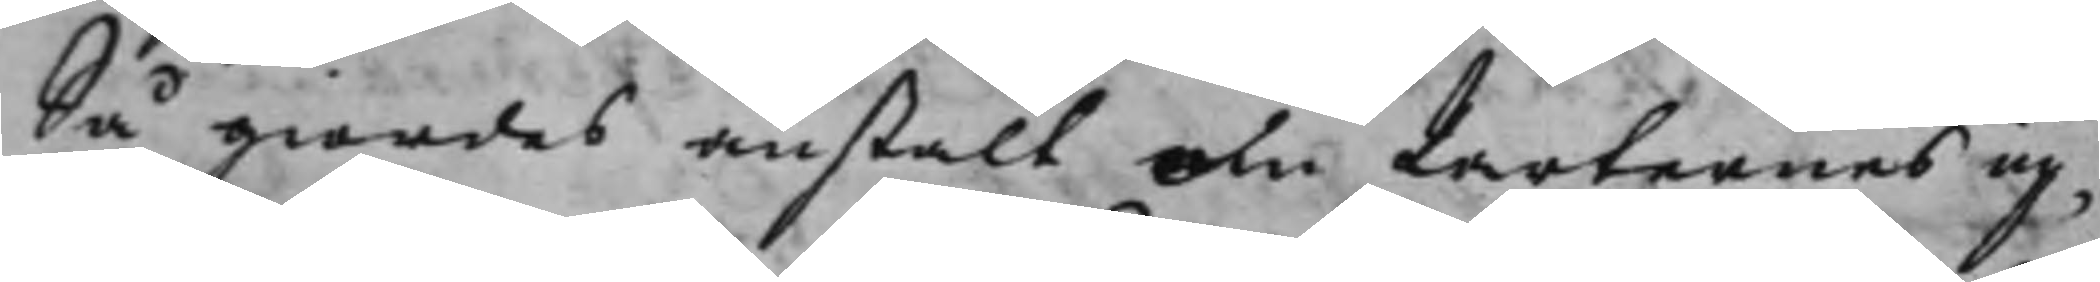Så giordes anstalt om Parternes up¬
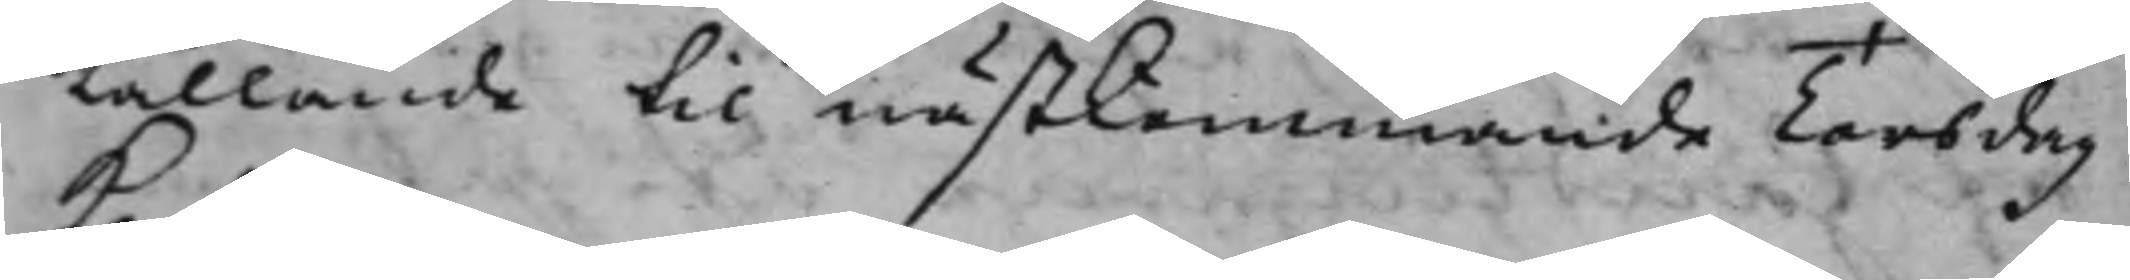Kallande til nästkommande Torsdag
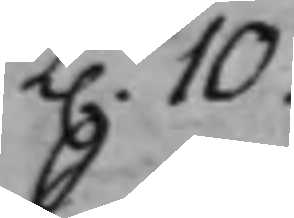K. 10.
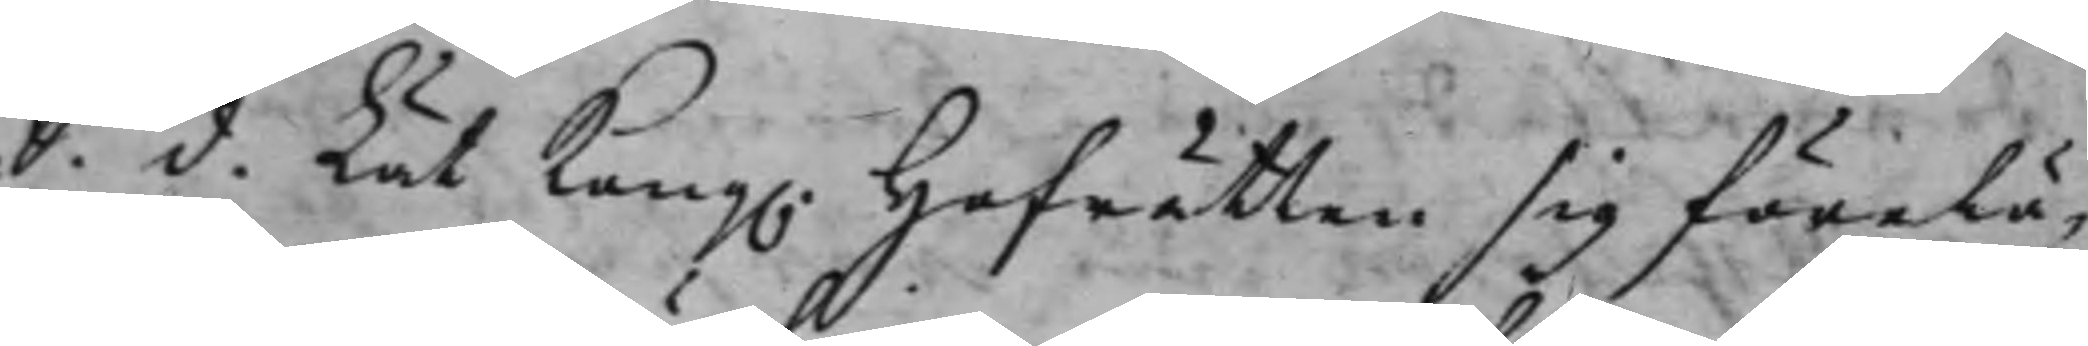S. d. Lät Kong. Hofrätten sig förelä¬
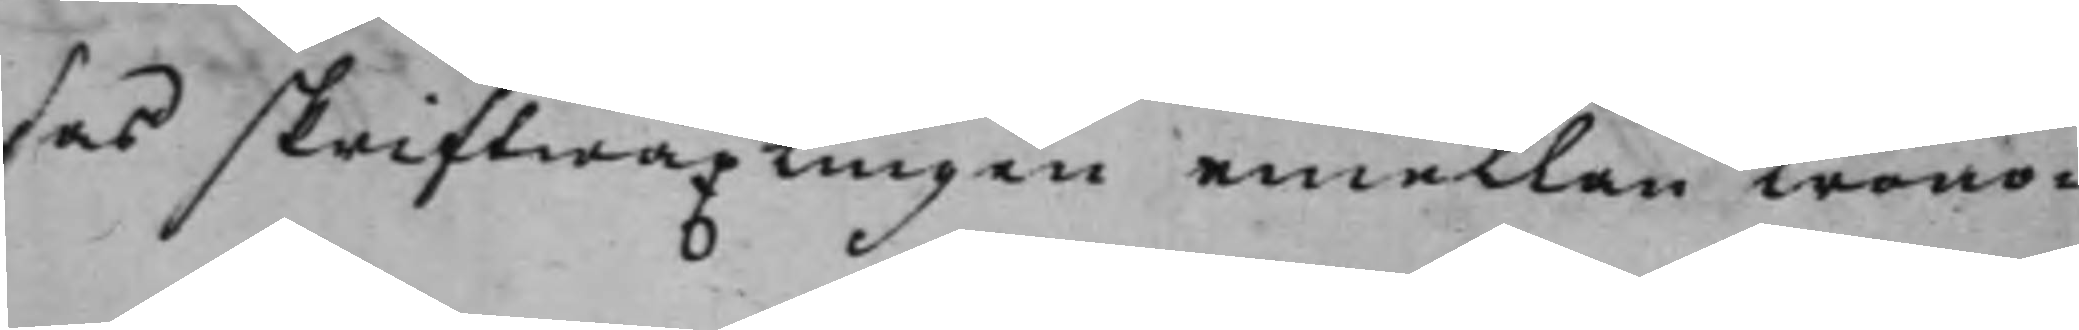sas skriftwäxlingen emellan Krono¬
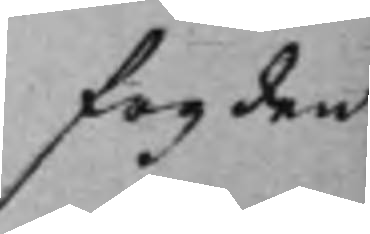fogden
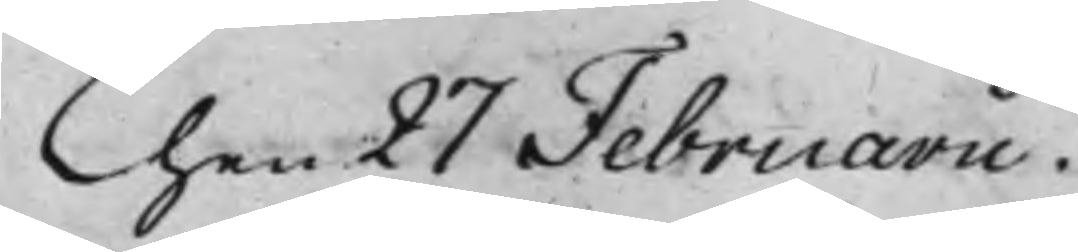Then 27 Februarii.
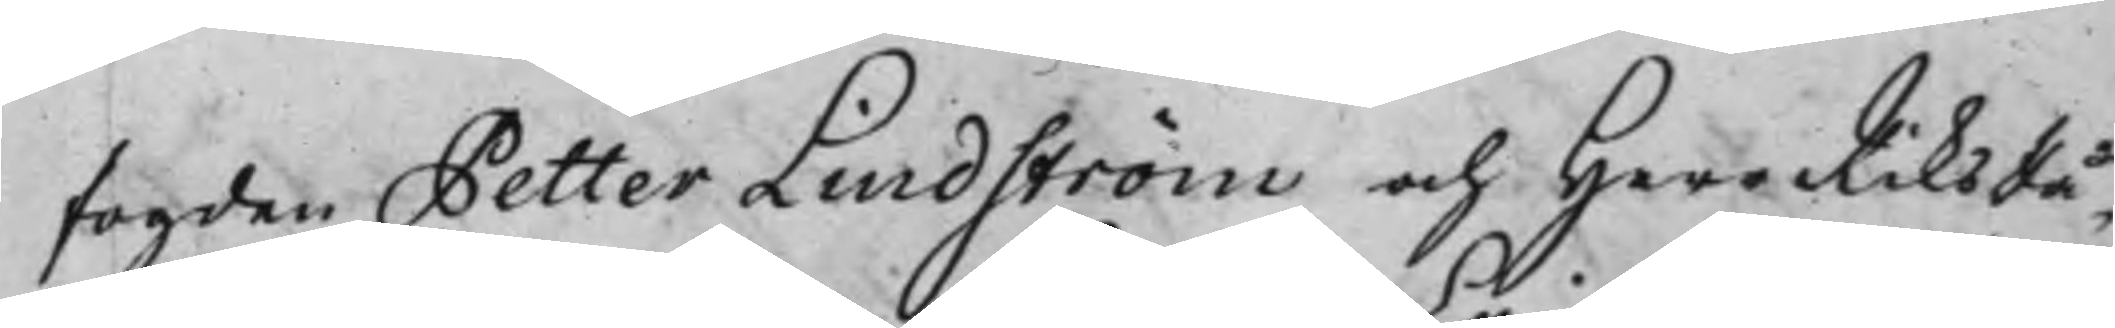fogden Petter Lindström och Herr RiksRå¬
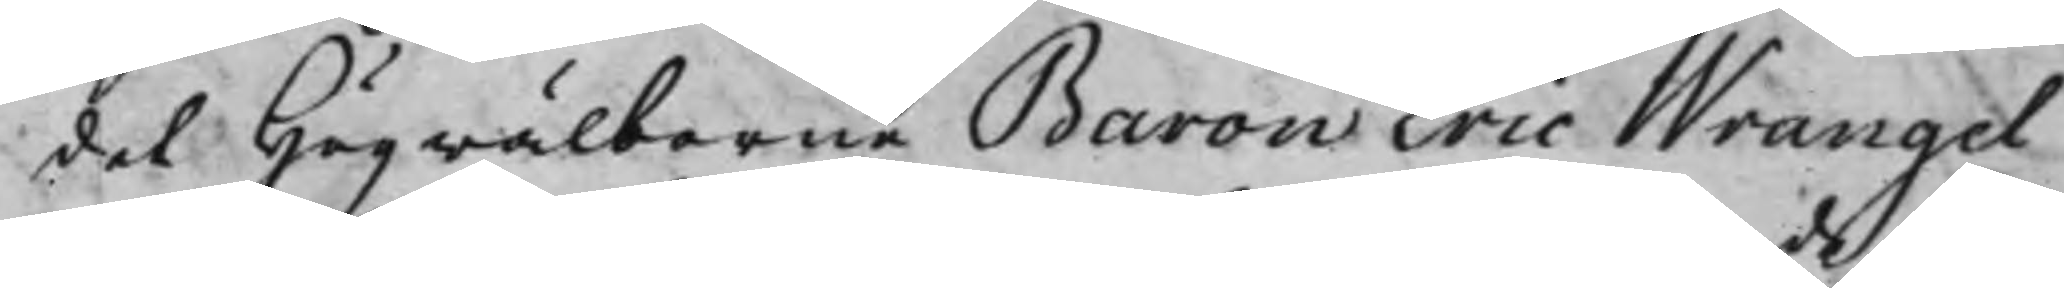det Högwälborne Baron Eric Wrangel
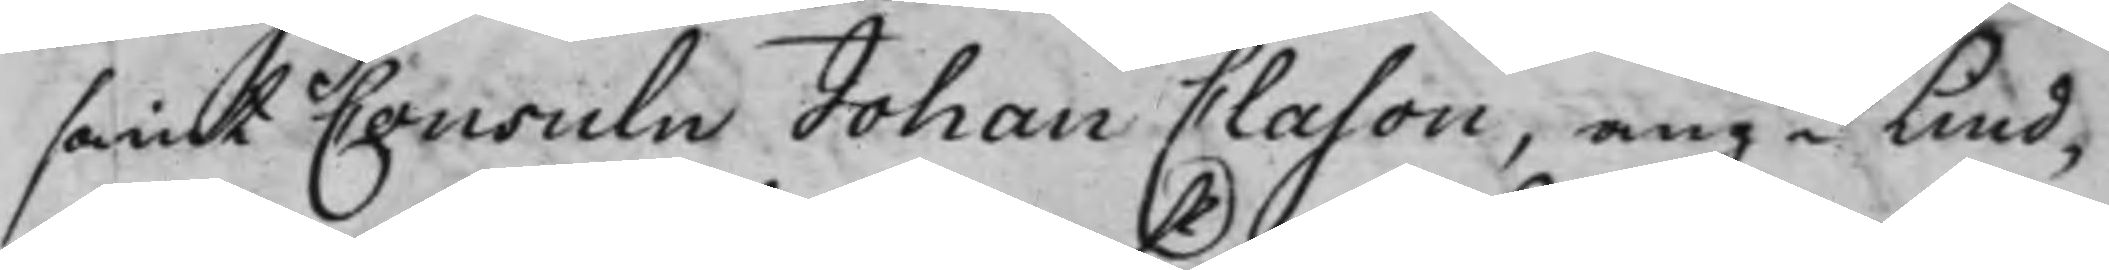samt Consuln Johan Clason, angde Lind¬
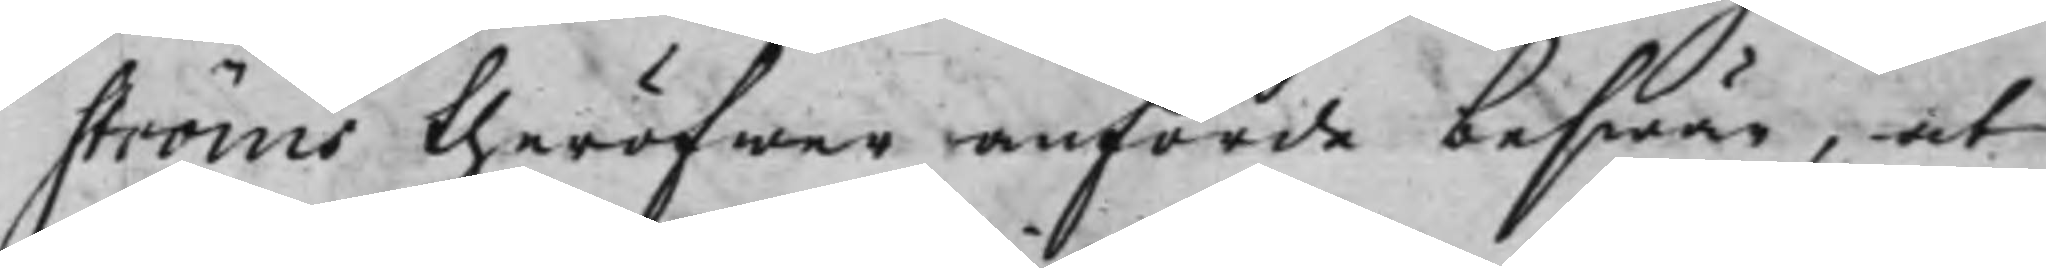ströms theröfwer anförde beswär, at
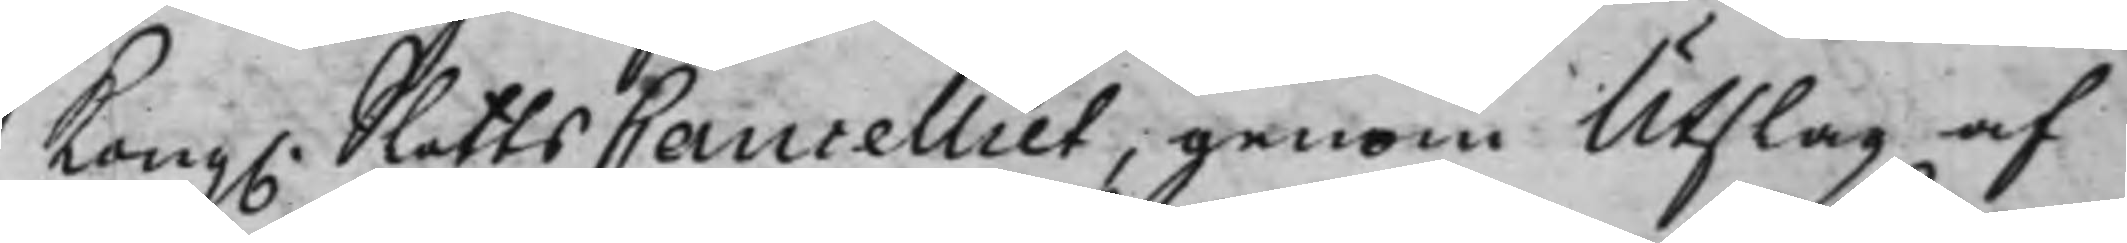Kong. SlottsCancelliet, genom Utslag af
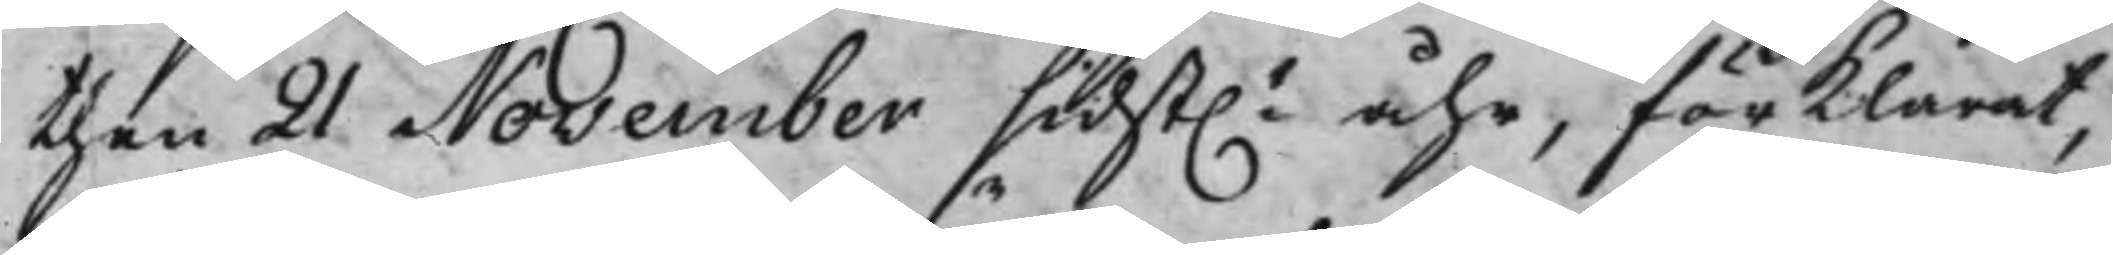then 21 November sidst.e åhr, förklarat,
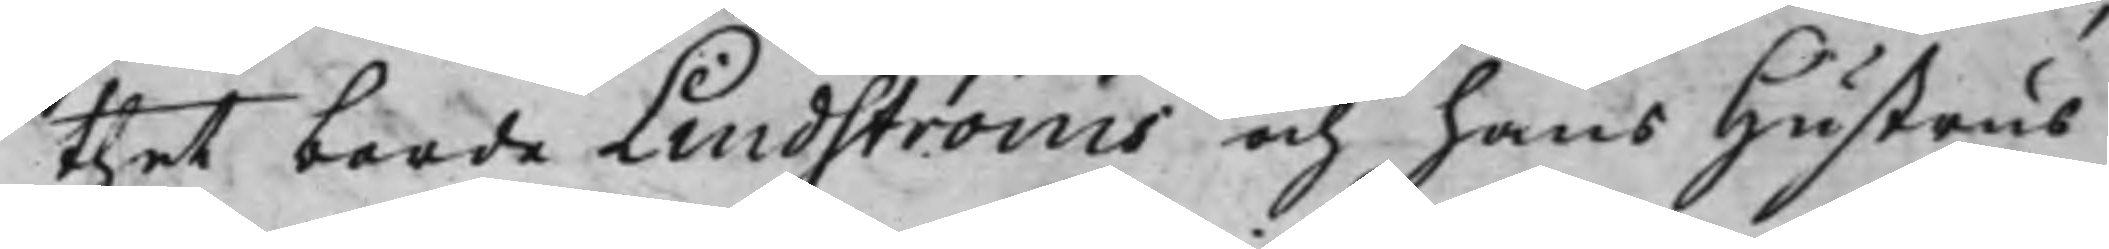thet borde Lindströms och hans Hustrus
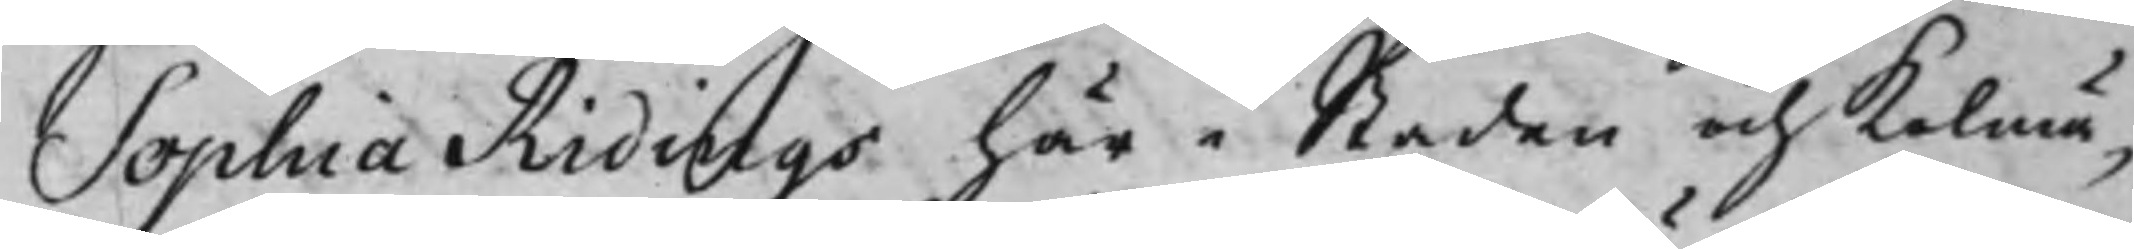Sophia Ridings här i Staden och Kolmä¬
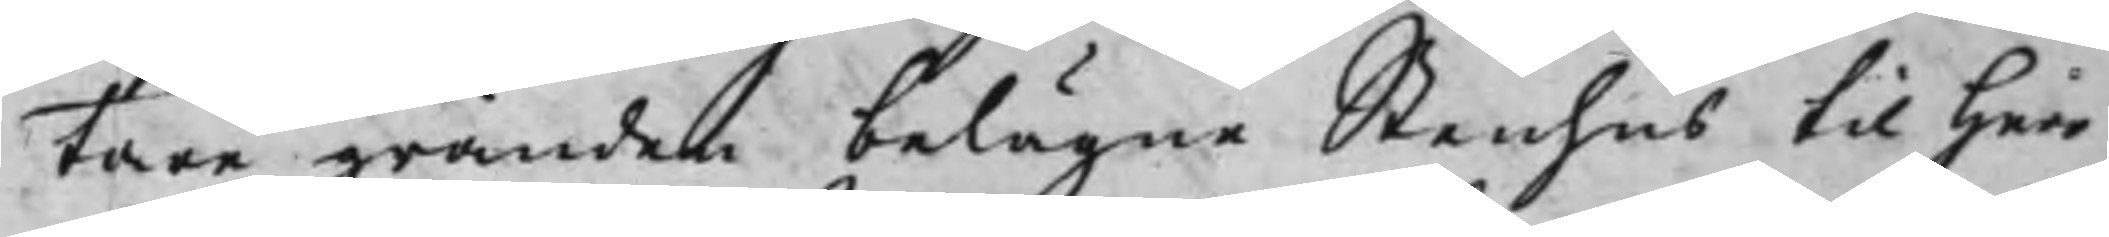tare gränden belägne Stenhus til Herr
